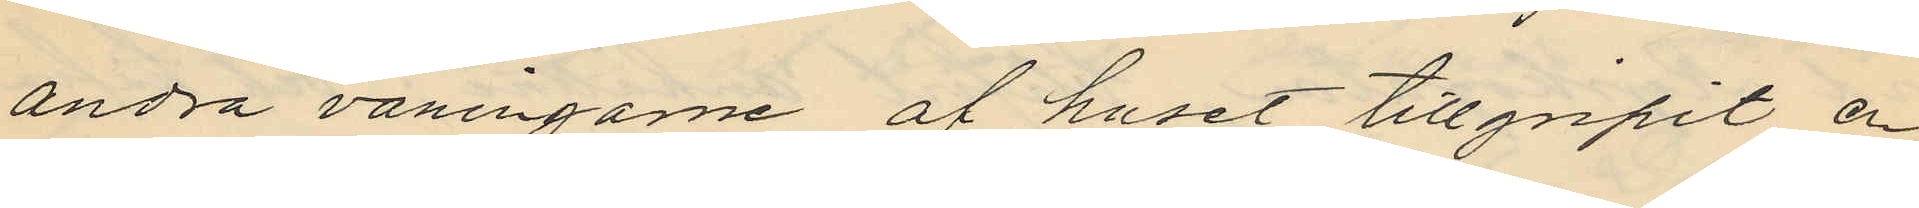andra våningarne af huset tillgripit en
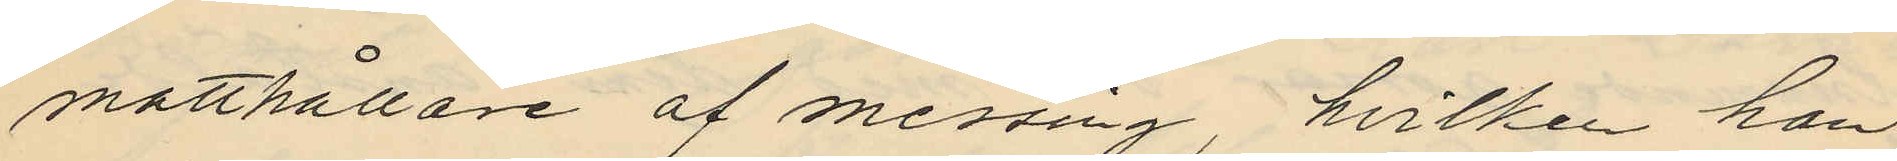matthållare af messig, hvilken han
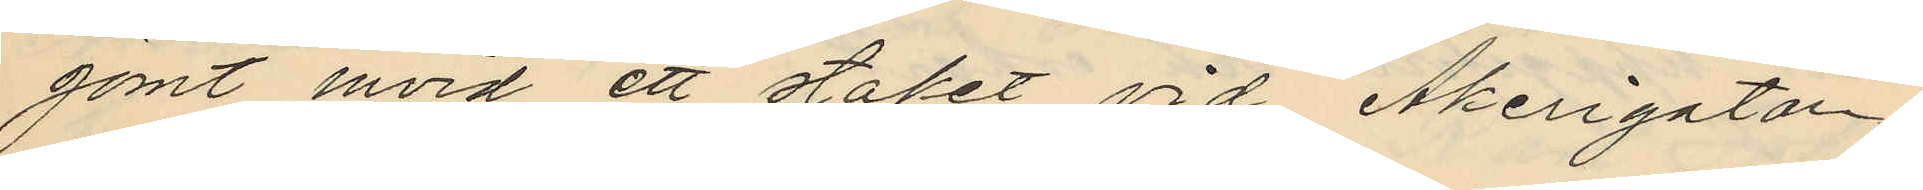gömt invid ett staket vid Åkerigatan
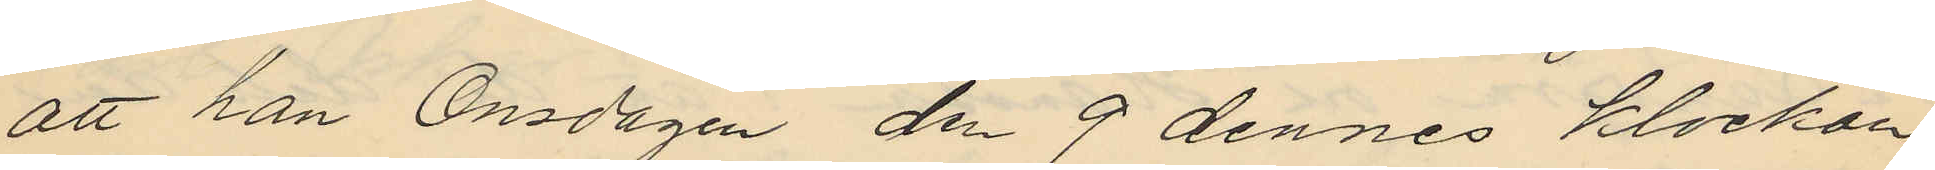att han Onsdagen den 9 dennes klockan
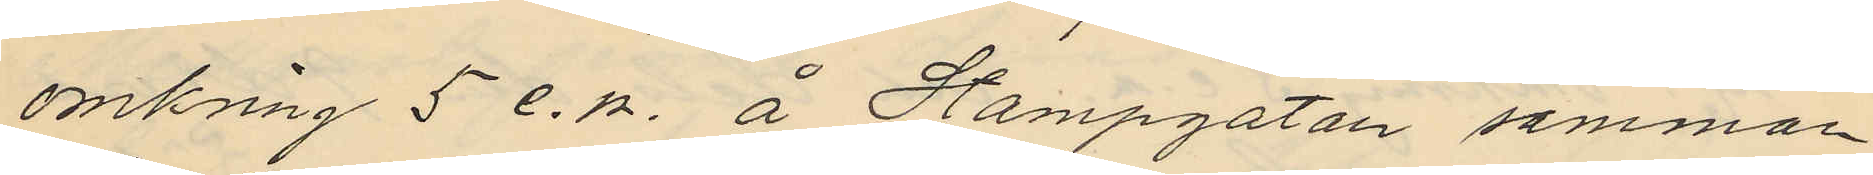omkring 5 e.m. å Stampgatan samman¬
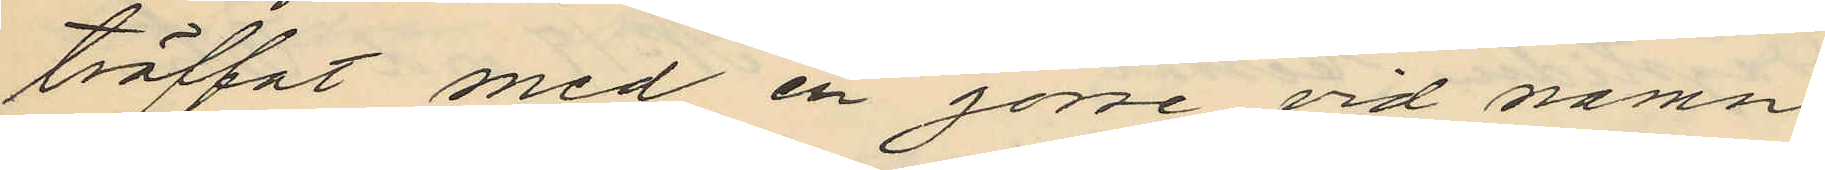träffat med en gosse vid namn
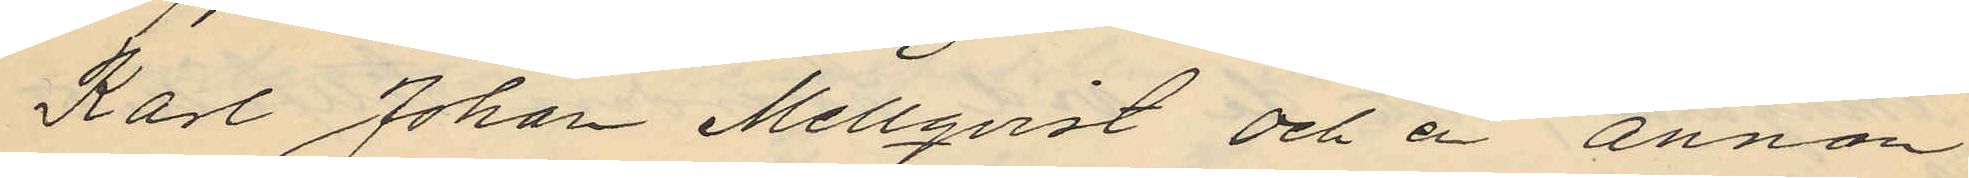Karl Johan Mellqvist och en annan
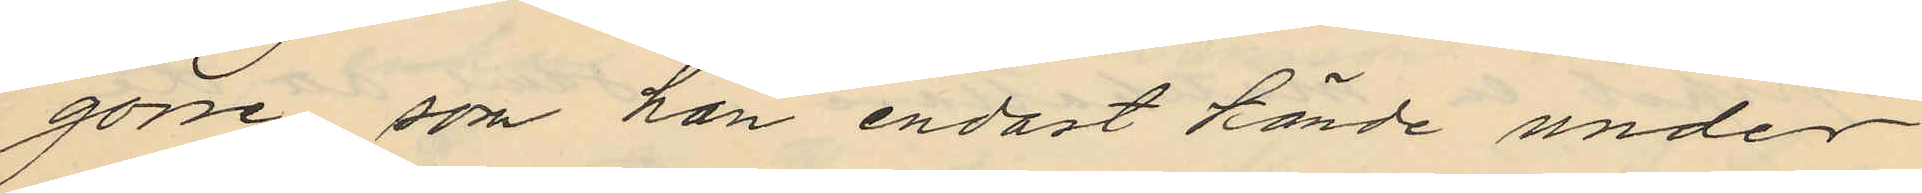gosse som han endast kände under
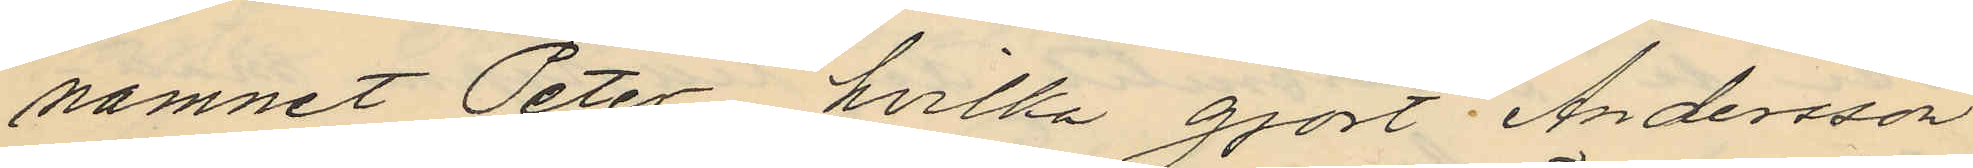namnet Peter, hvilka gjort Andersson
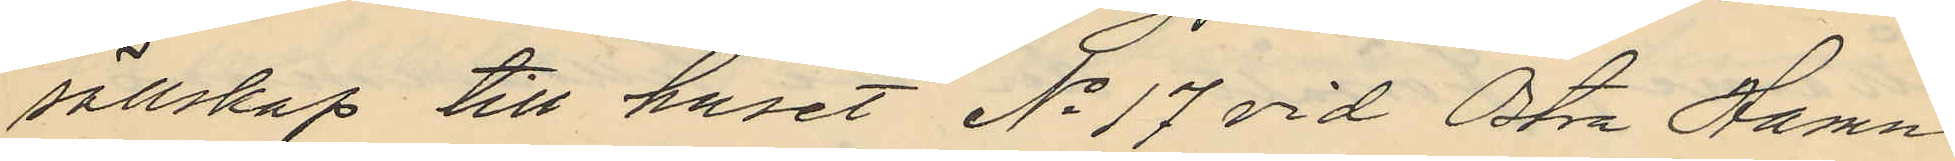sällskap till huset No 17 vid Östra Hamn¬
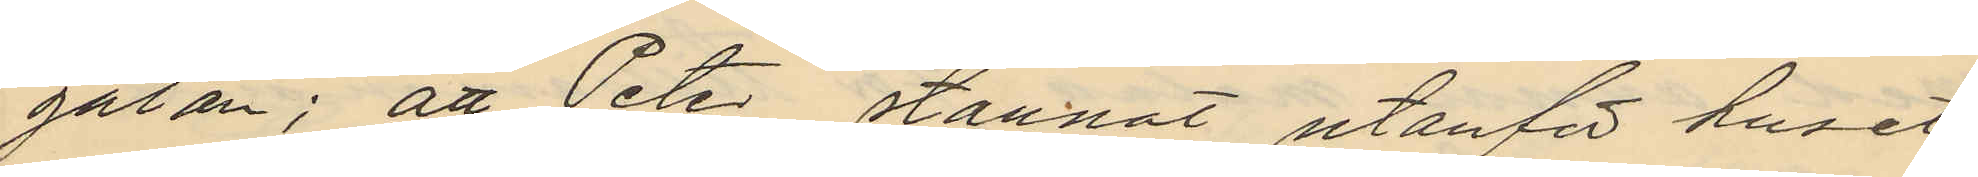gatan; att Peter stannat utanför huset
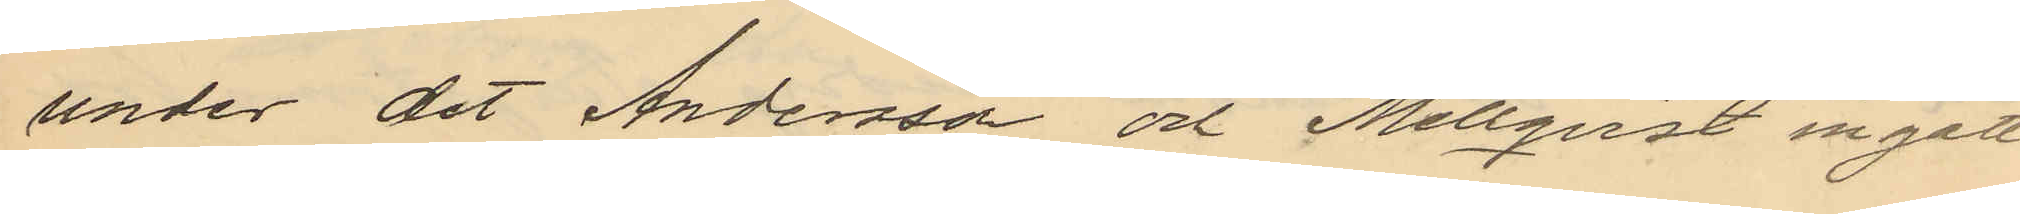under det Andersson och Mellquist ingått
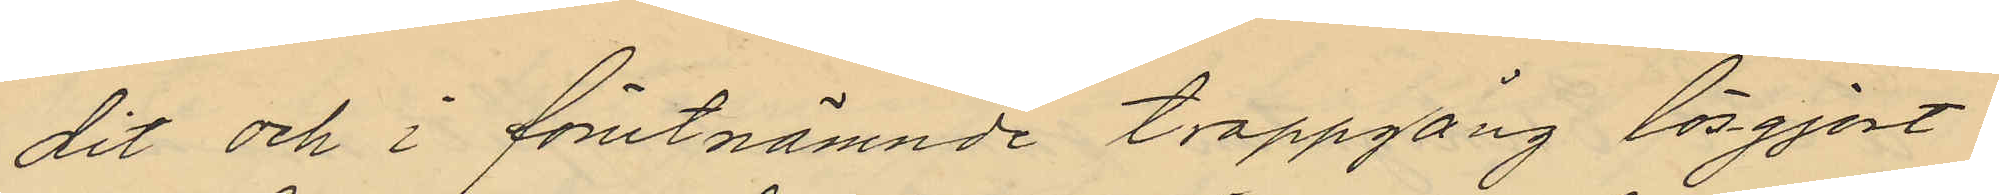dit och i förutnämnde trappgång lösgjort
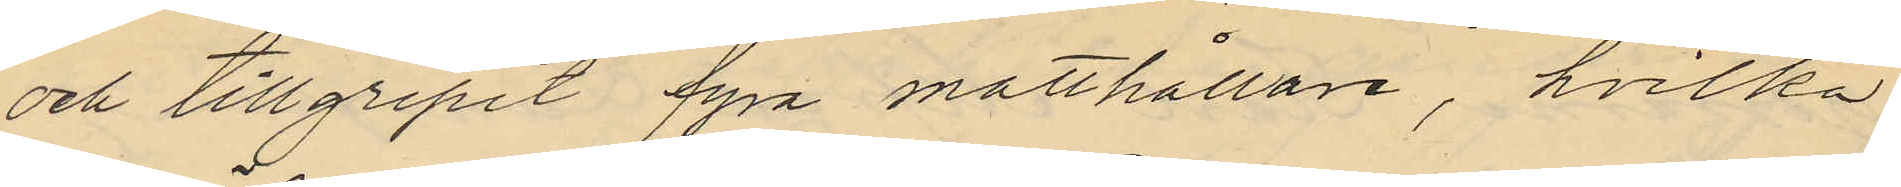och tillgripit fyra matthållare, hvilka
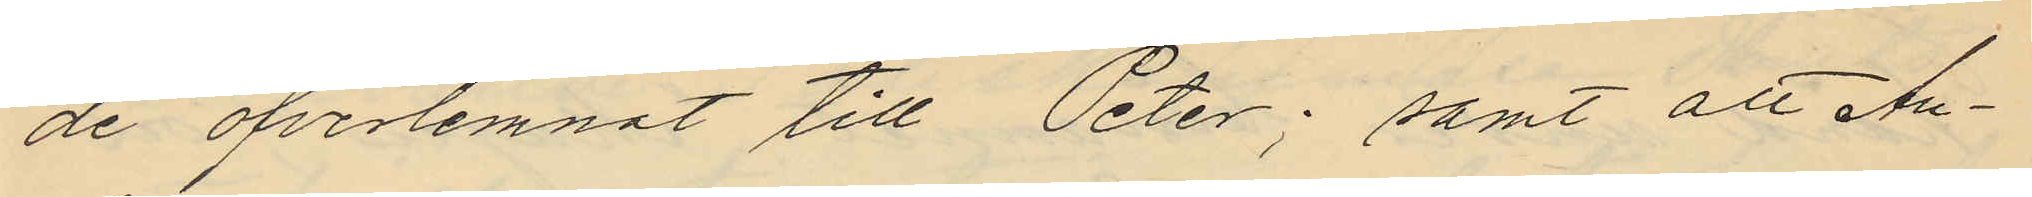de öfverlemnat till Peter; samt att An¬
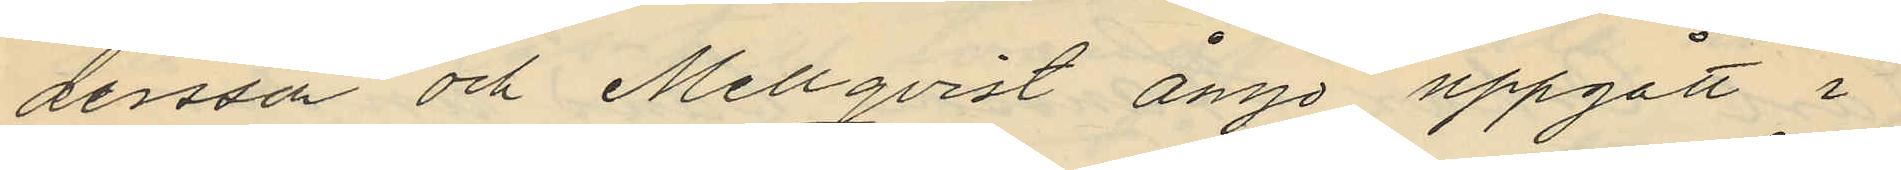dersson och Mellqvist ånyo uppgått i
